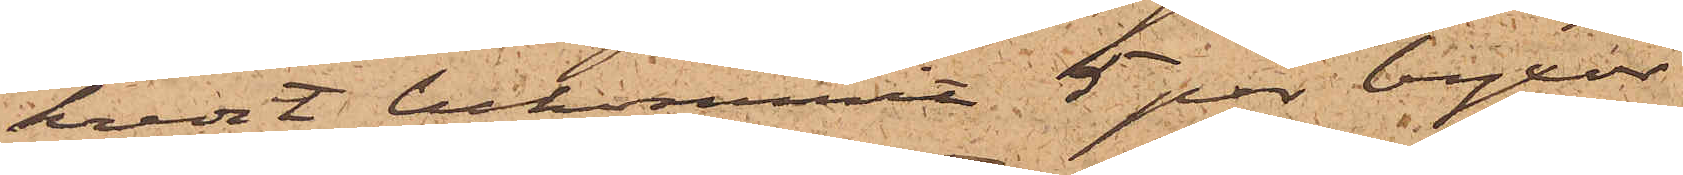kredit bekommit 5 par byxor
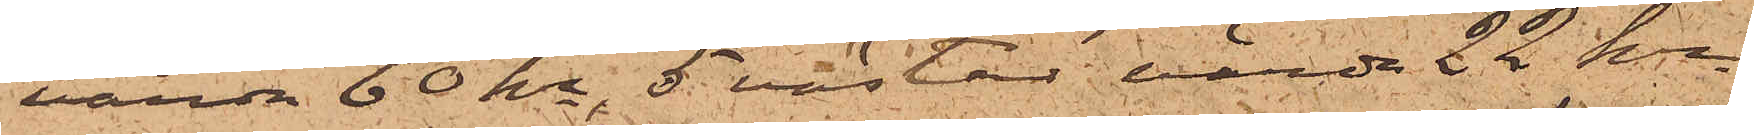värda 60 kr, 5 västar värda 22 kr
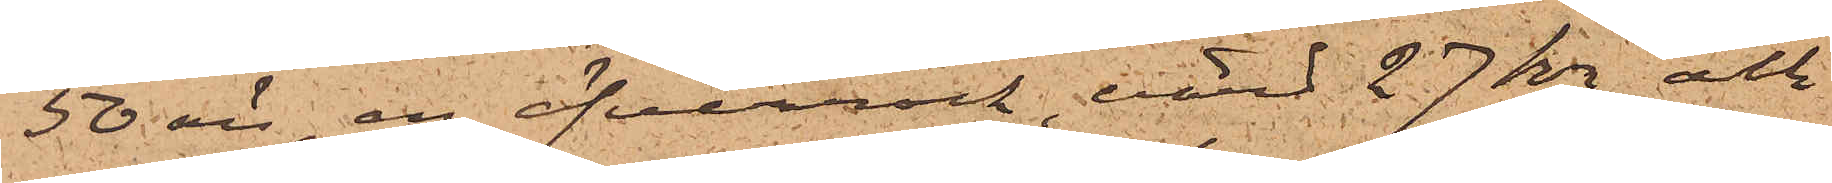50 öre, en öfverrock, värd 27 kr och
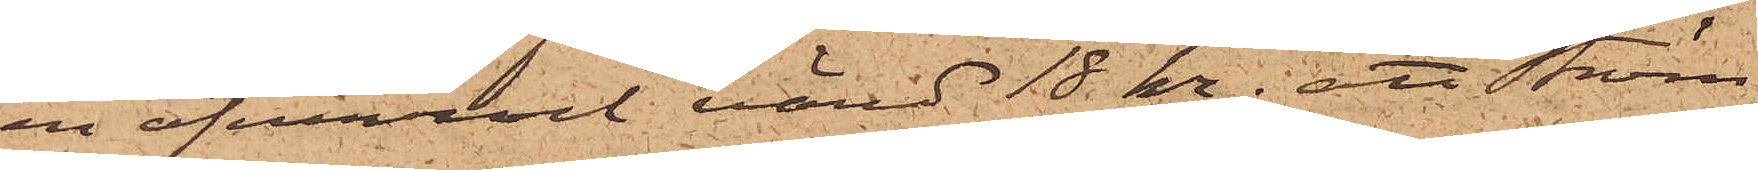en öfverrock värd 18 kr; att Ström
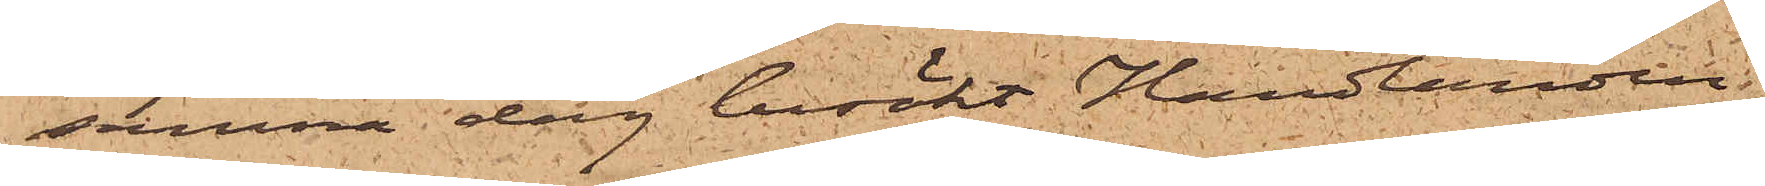samma dag besökt Handlanden
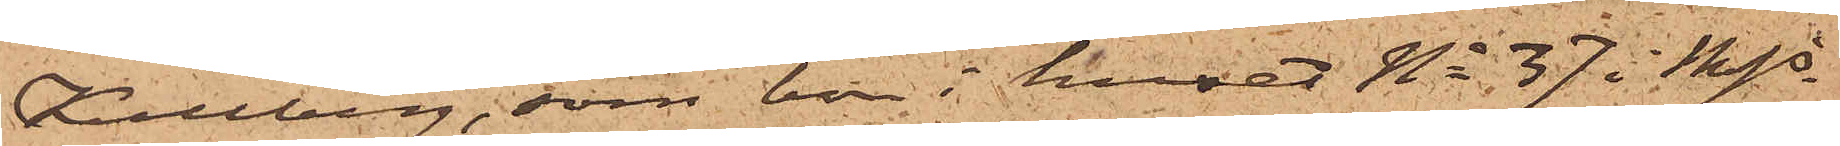Kullberg, som bor i huset No 37 i Mjs
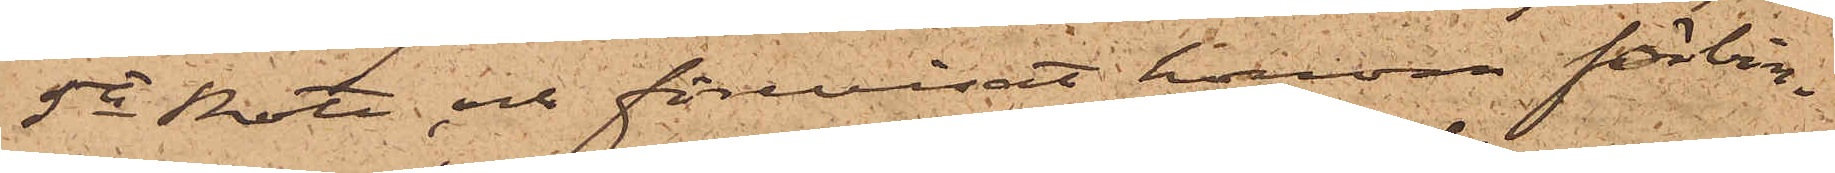5te Rote, och förevisat honom förbin¬
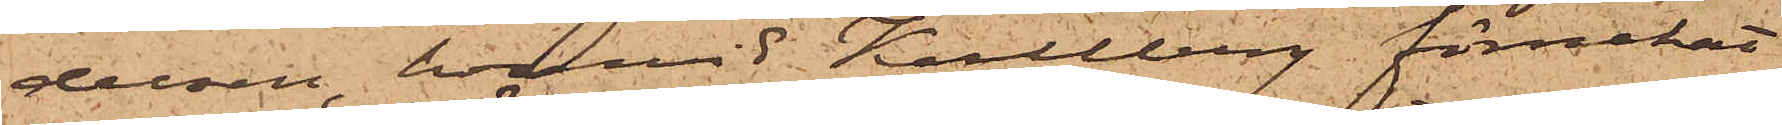delsen, härvid Kullberg förnekat
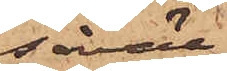såväl
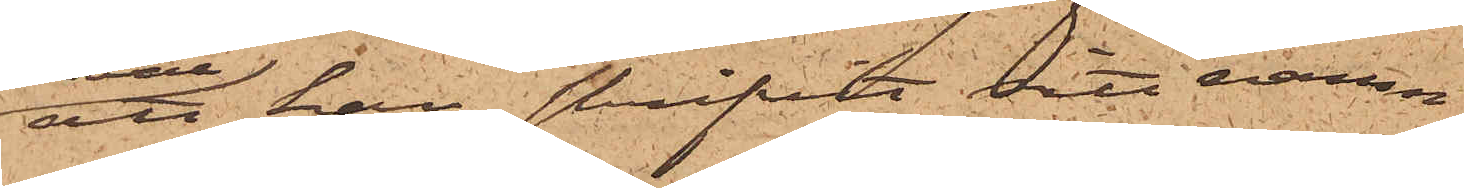att han skrifvit sitt namn
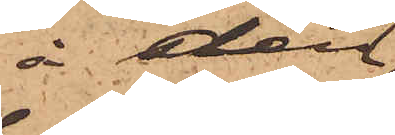å den
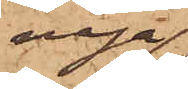nya
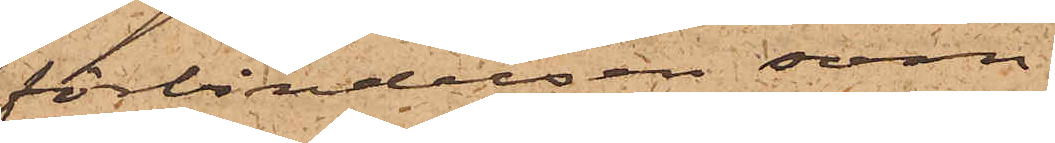förbindelsen som
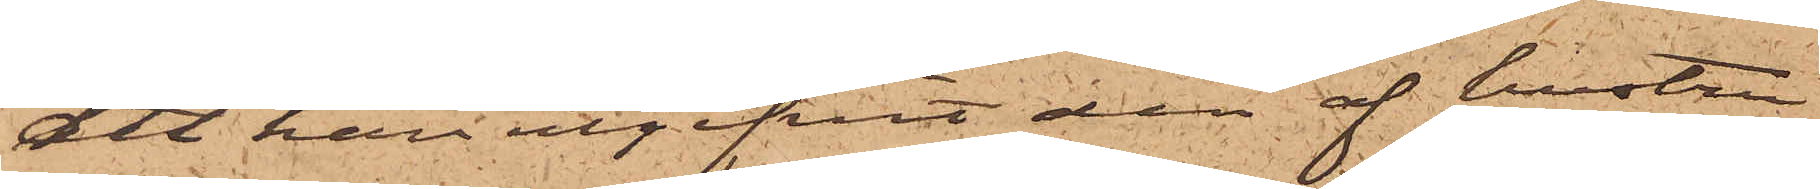att han utgifvit den af hustru
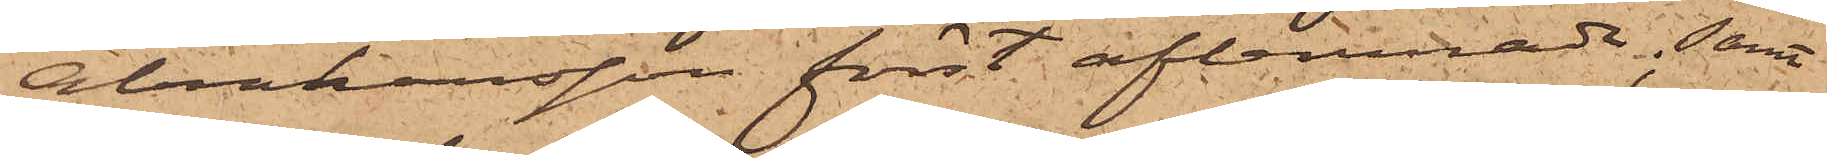Abrahamsson först aflemnade; samt
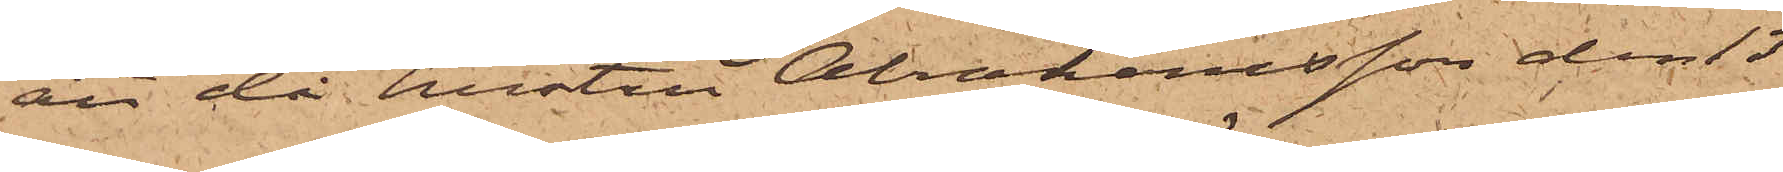att då hustru Abrahamsson den 13
